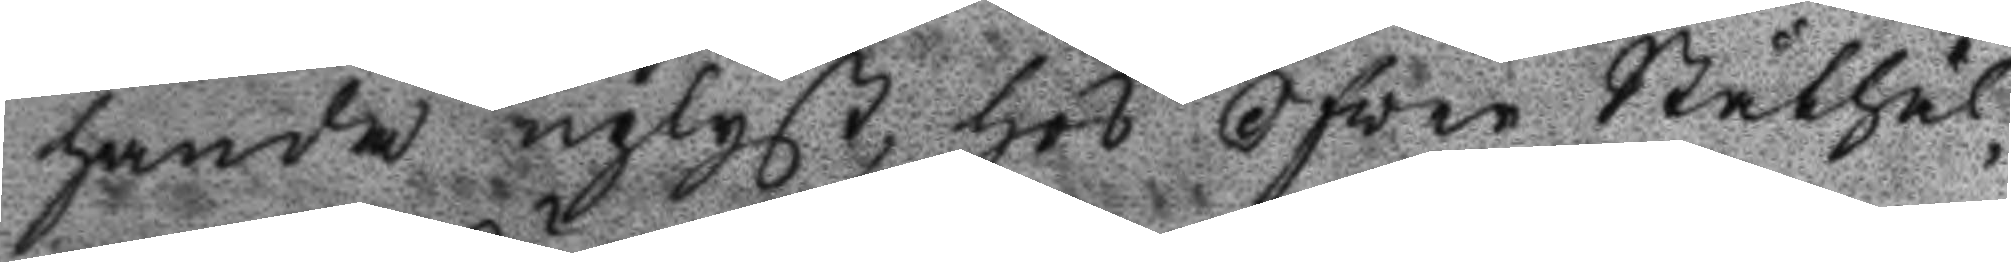handa upläst, hos Öfver Ståthål¬
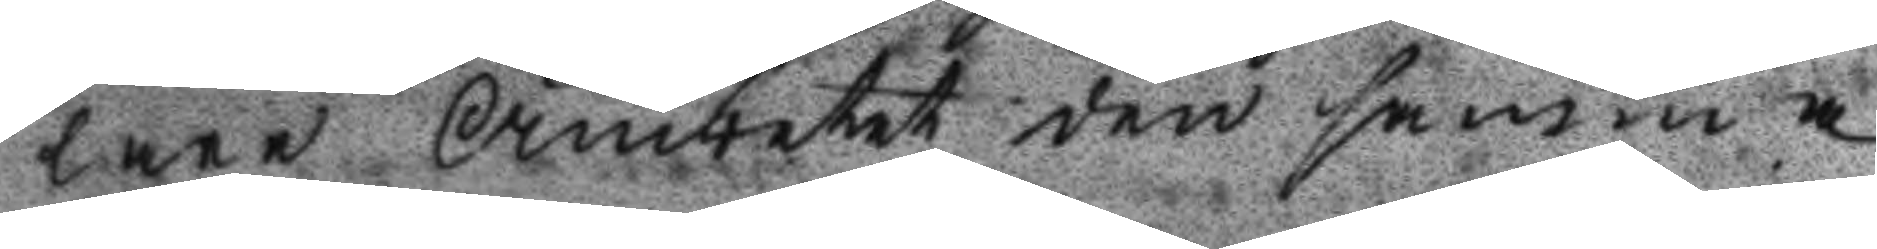lare Ämbetet den samma
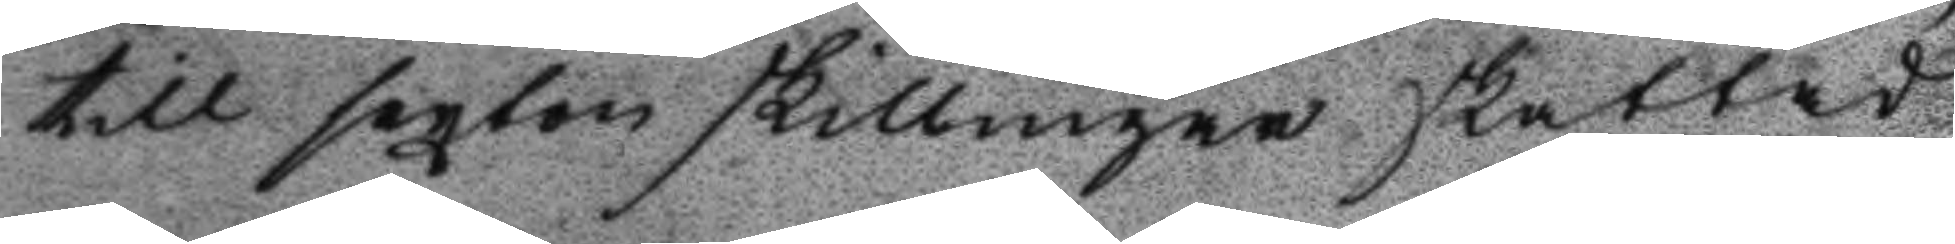till sexten skillingar skattad
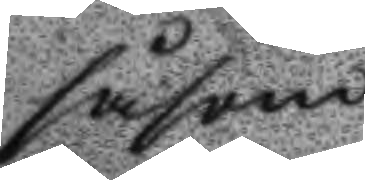såsom
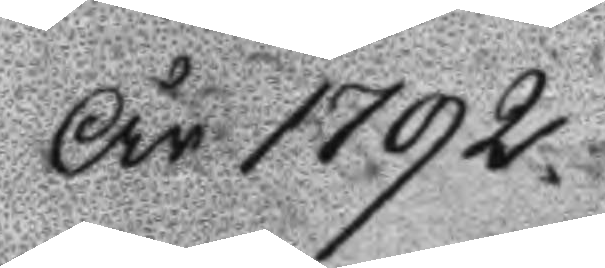År 1792.
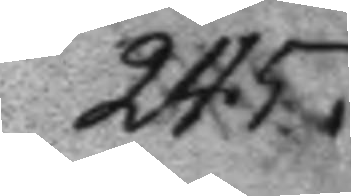245.
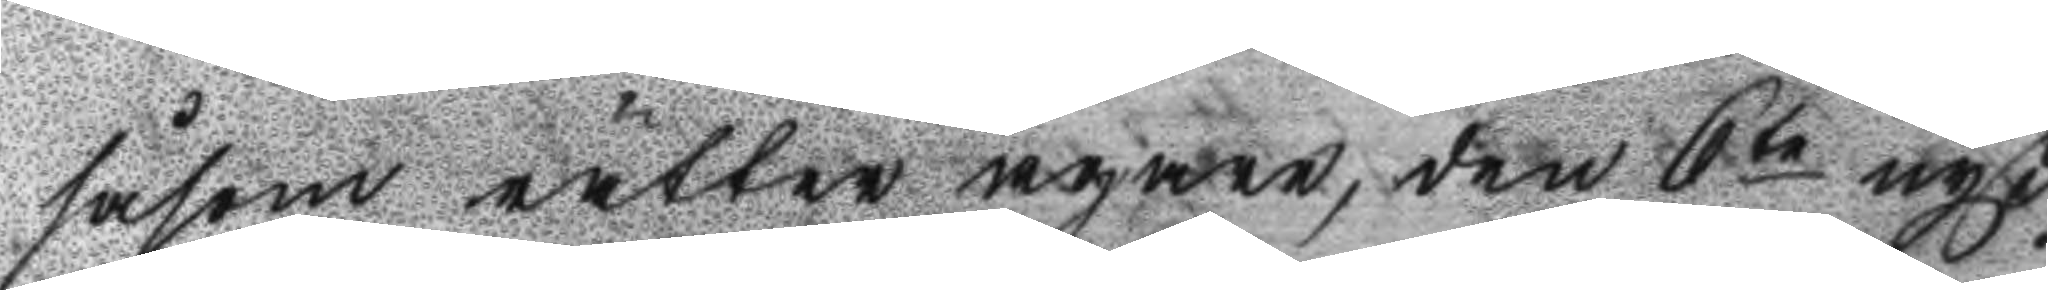såsom rätter ägare, den 6te nyß¬
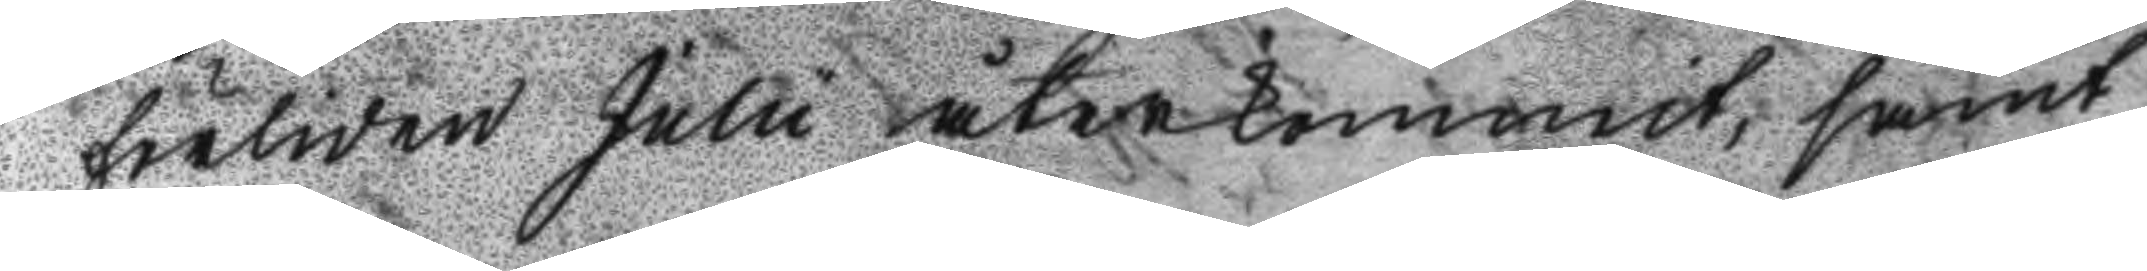förliden Julii återkommit, samt
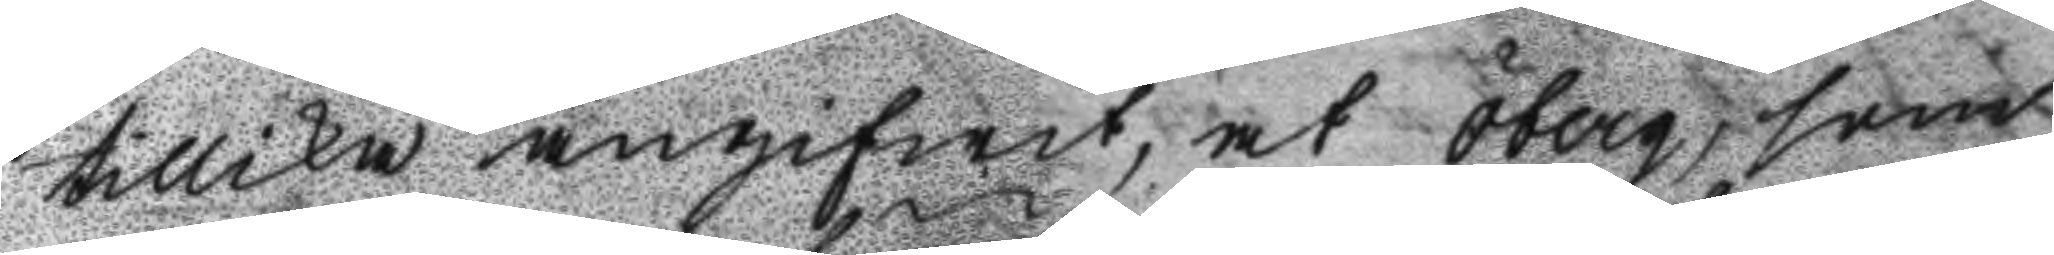tillika angifwit, at Öberg, som
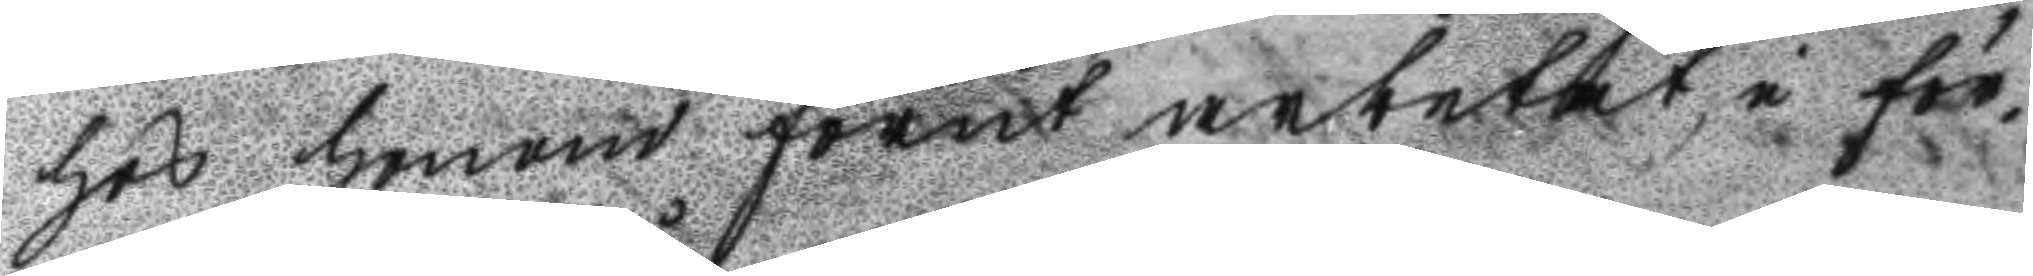hos honom förut arbetat, i för¬
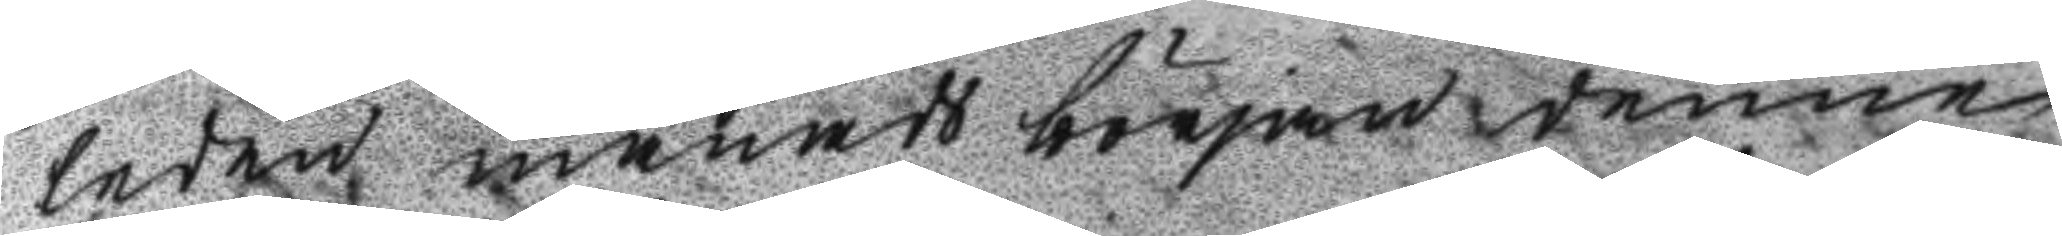leden månads början denne
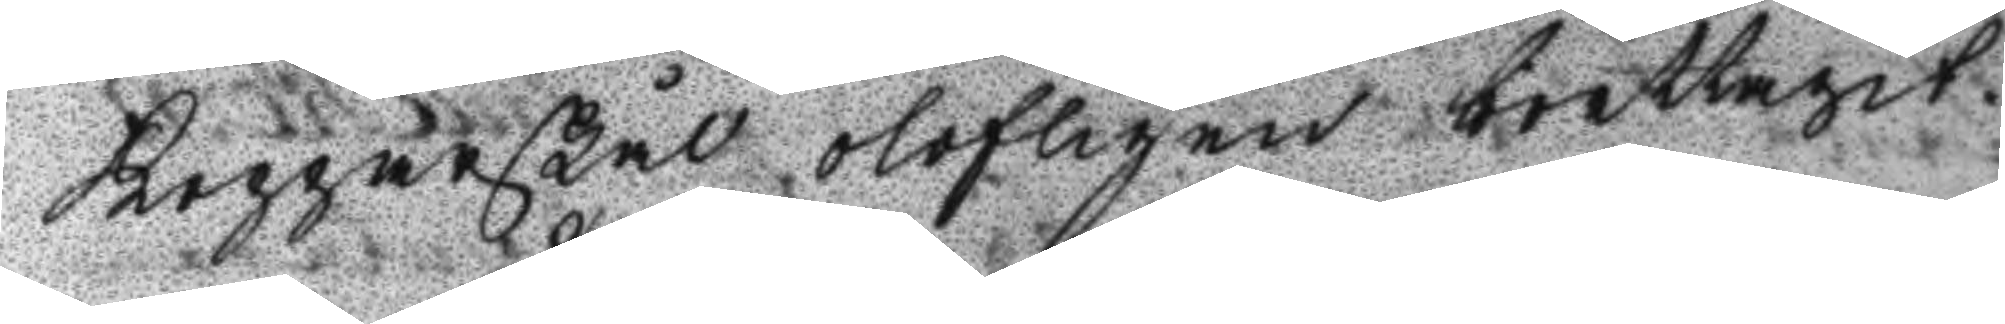kopparskål olofligen borttagit.
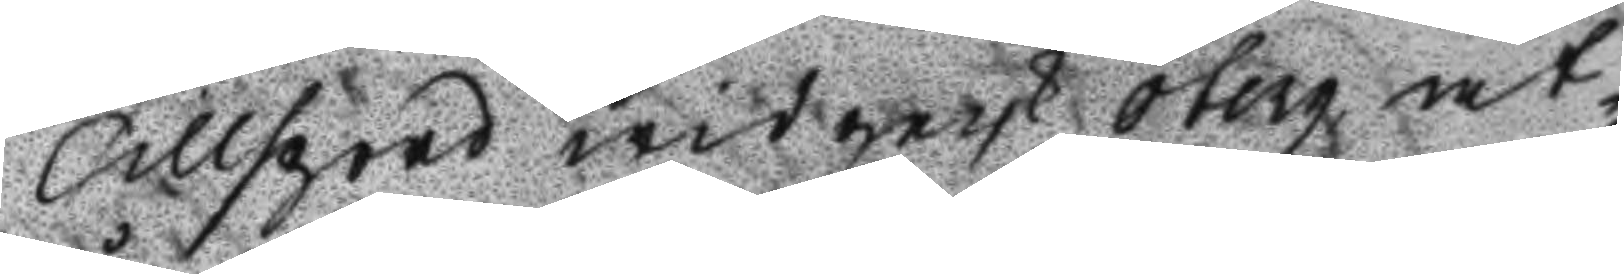Tillspord widgeck Öberg, at
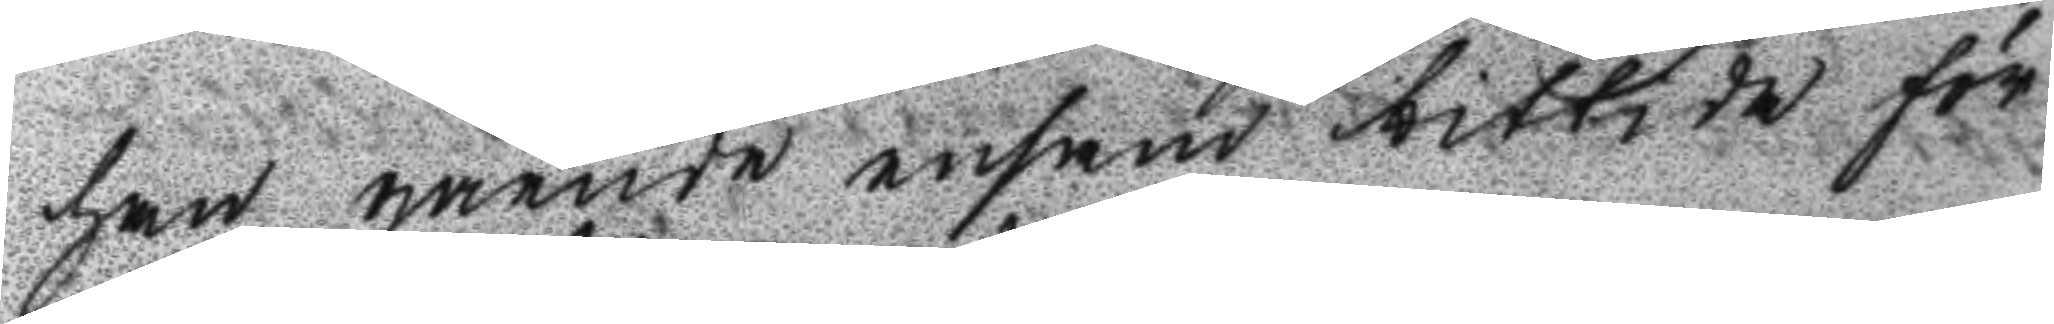han gående ensam bittida för¬
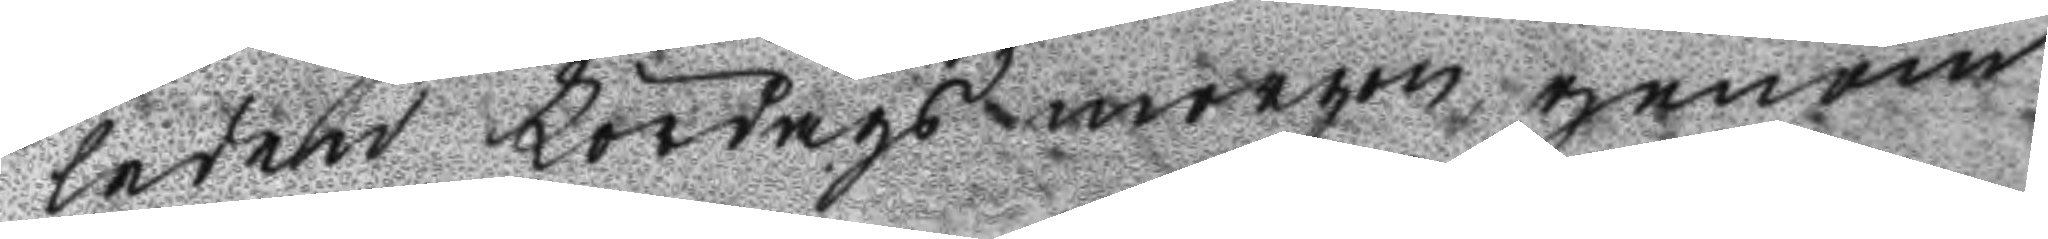leden Lördags morgon genom
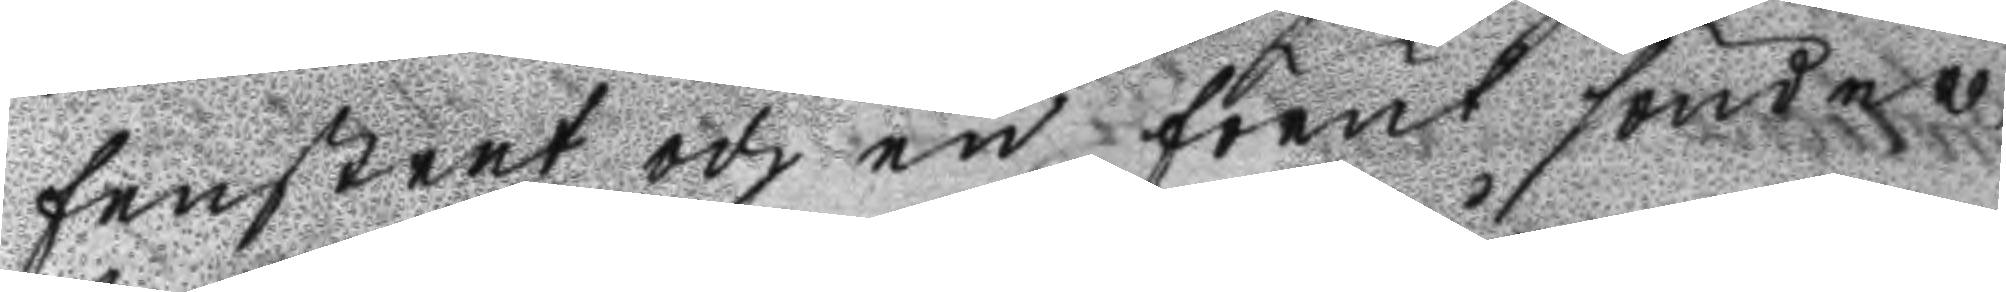fenstret och en förut sönder¬ 
